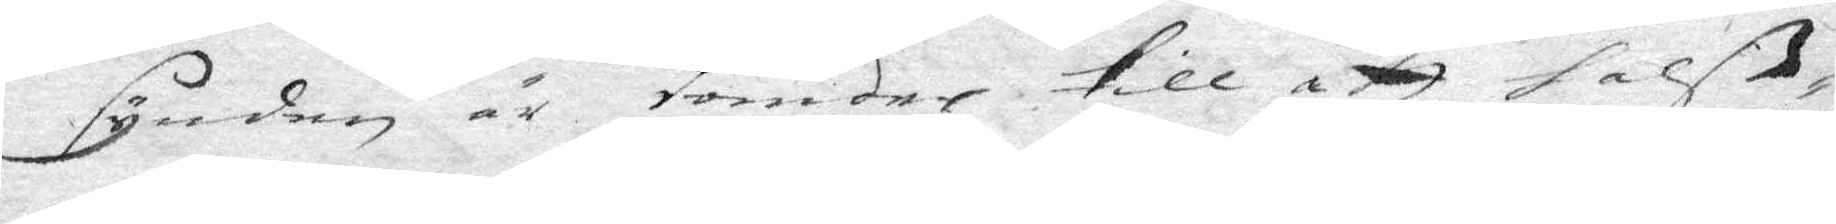synden är förder till att halß¬
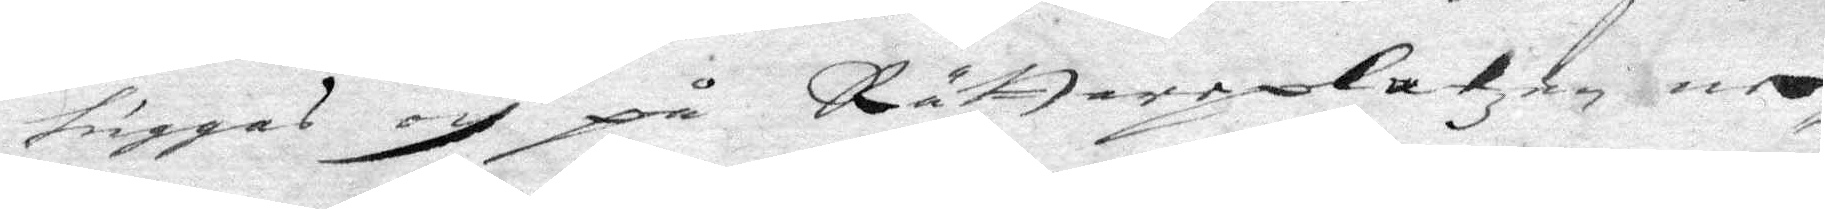huggas och på Rättareplatzen ne¬
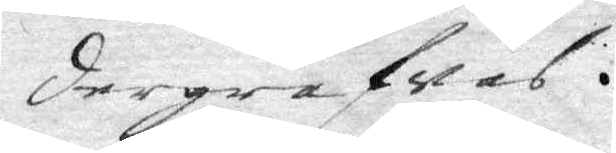dergrafvas.
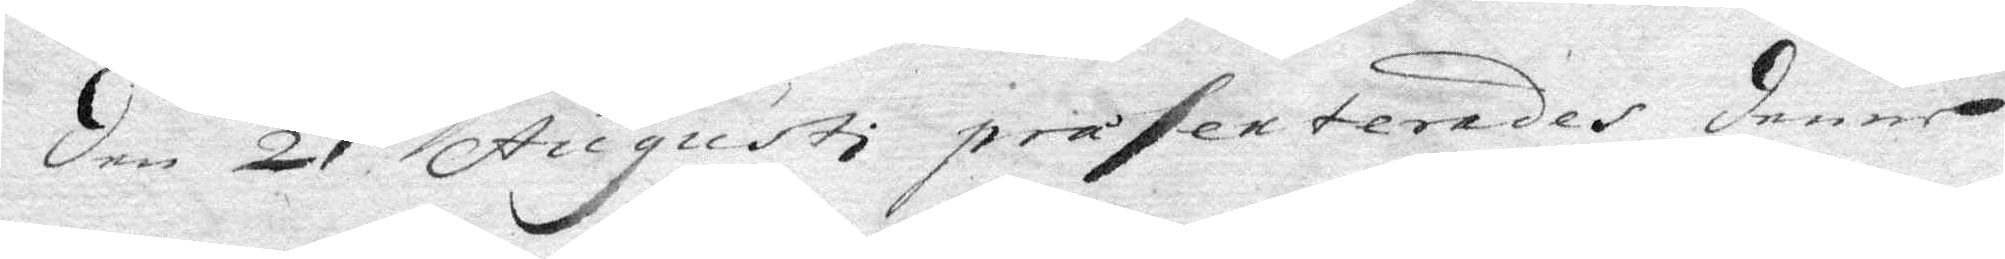den 21 Augusti präsenterades denne
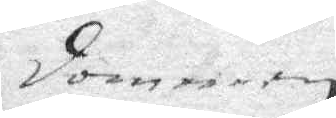dommen
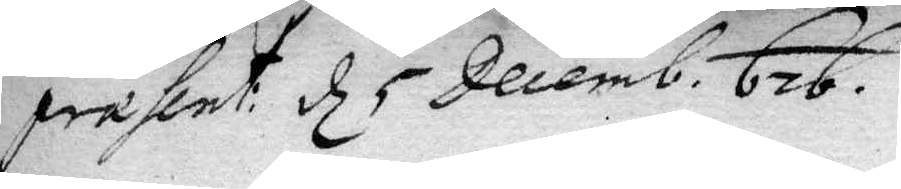præsent: d 5 Decemb. 676.
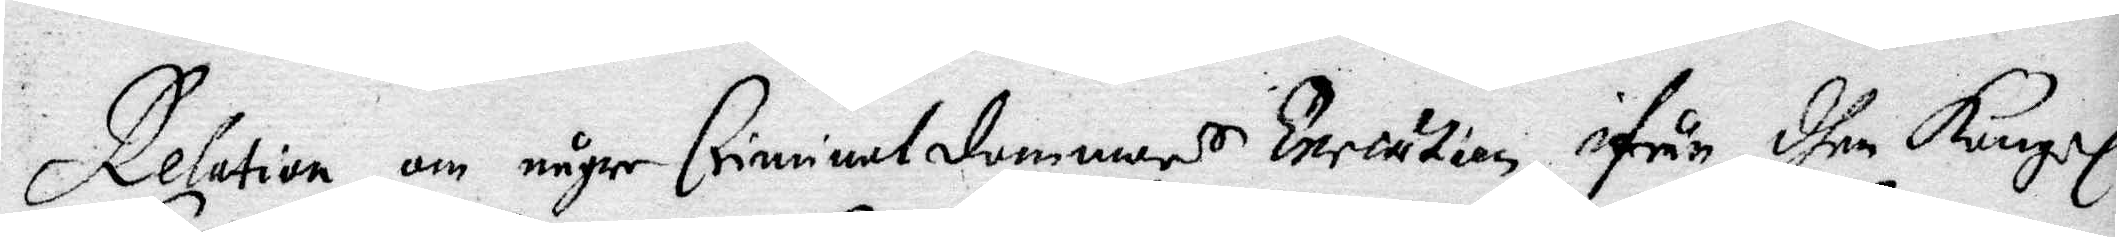Relation om någre Criminaldommars Execution ifrån dhen Kongl.
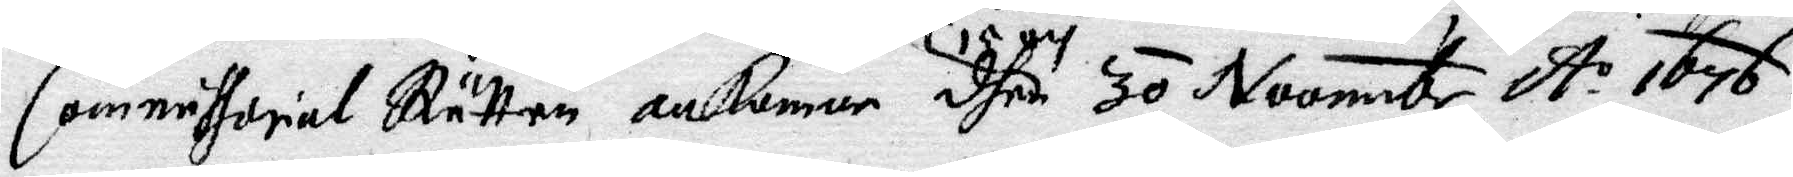Commissorial Rätten ankomne dhen 15 och 30 Novembr A.o 1676.
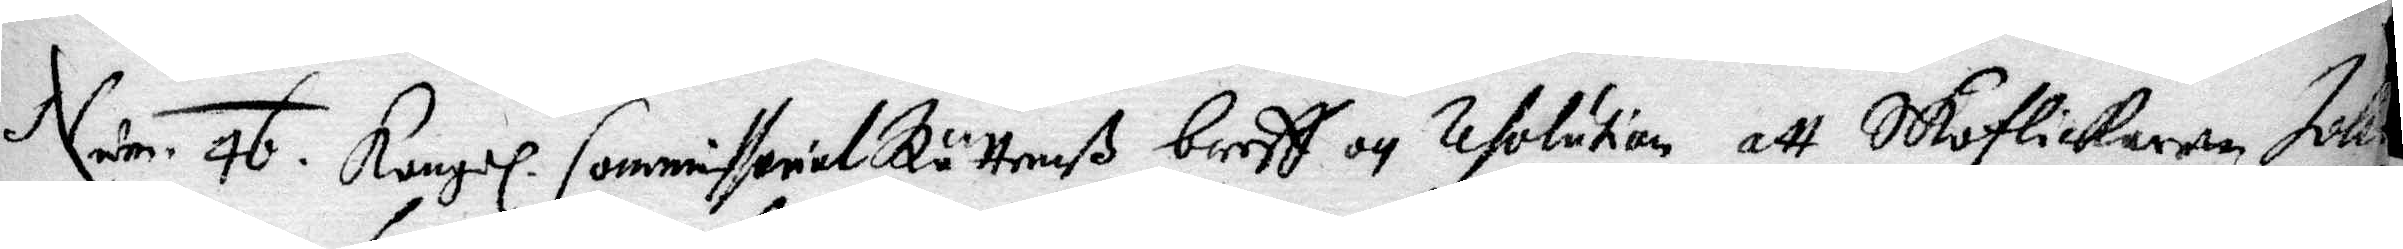Num. 46. Kongl. Commissorial Rättenß breff och resolution att Skoflickaren Joh...
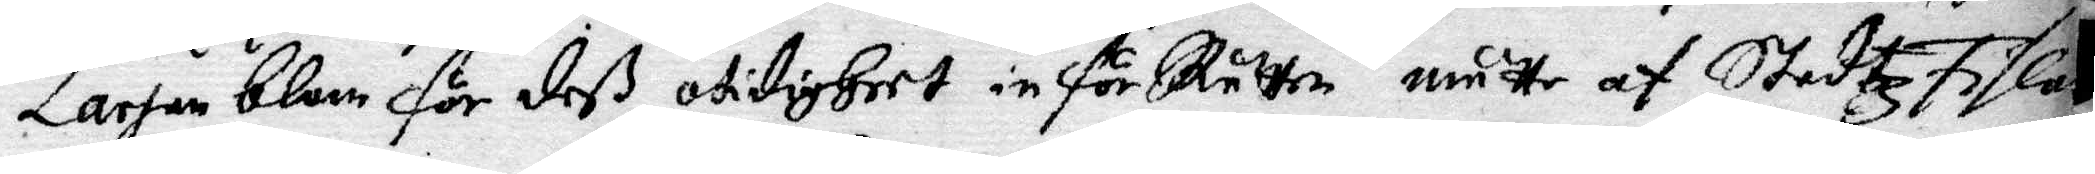Larson blom för deß otidigheet inför Rätten måtte af Stadzfiska...
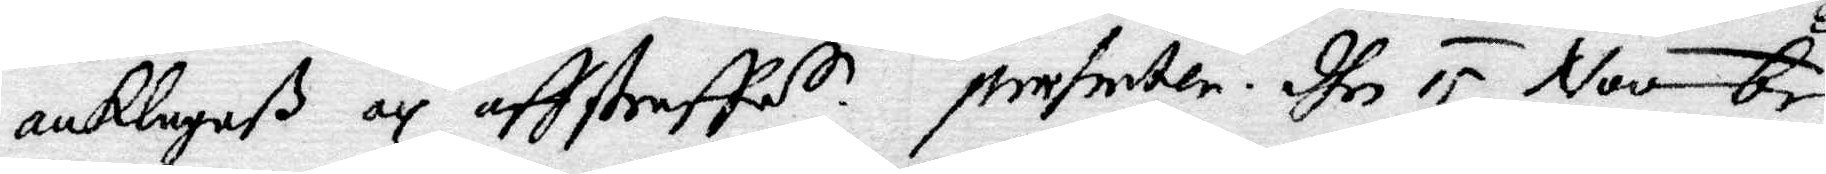anklagaß och affstraffas. presenter. dhen 15 Novebr.
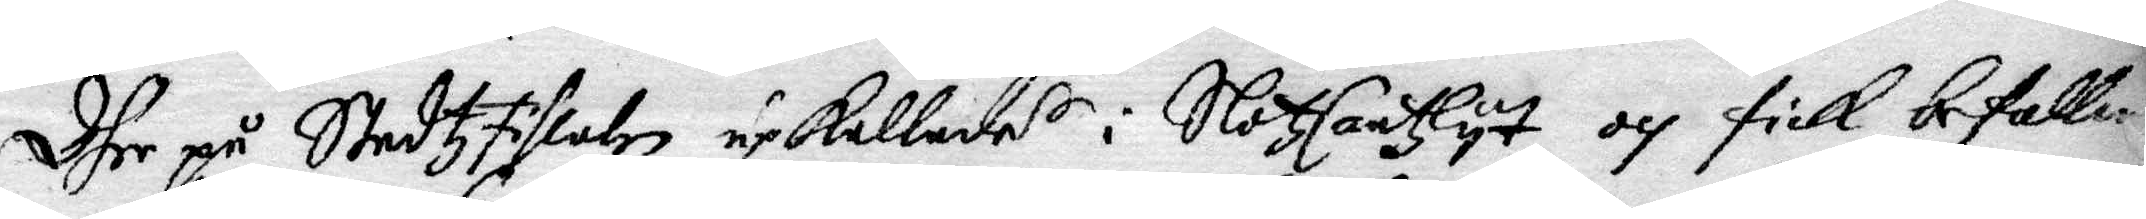Dher på Stadzfiskalen upkallades i SlotzCantzlyt och fick befalln...
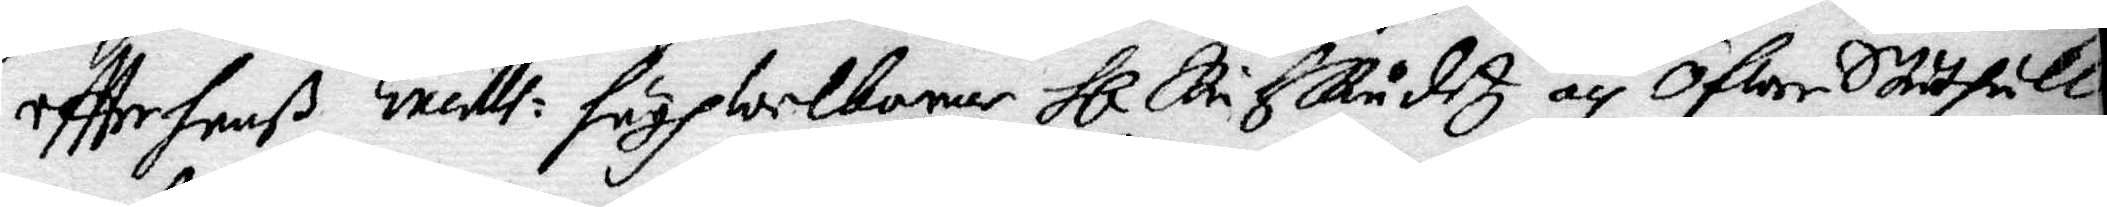effter hanß Excell: höghwelborne Hl ... Skådtz och ÖfwerStådthåll¬
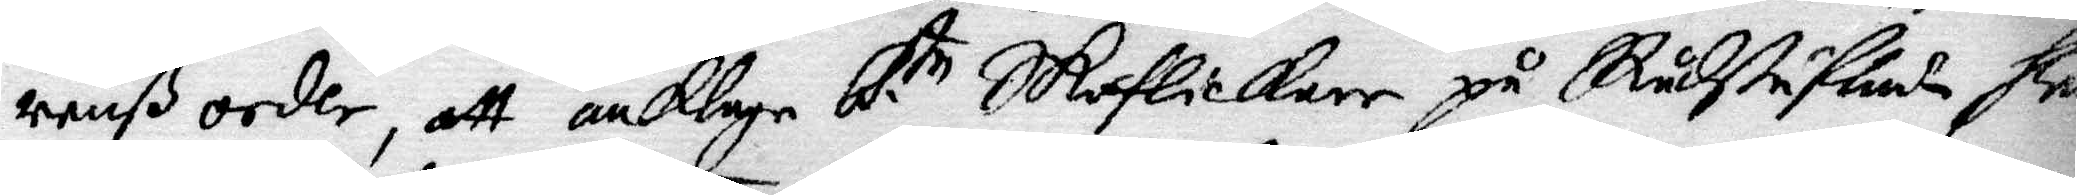arenß order, att anklaga b. te Skoflickare på Rådstufwan ...
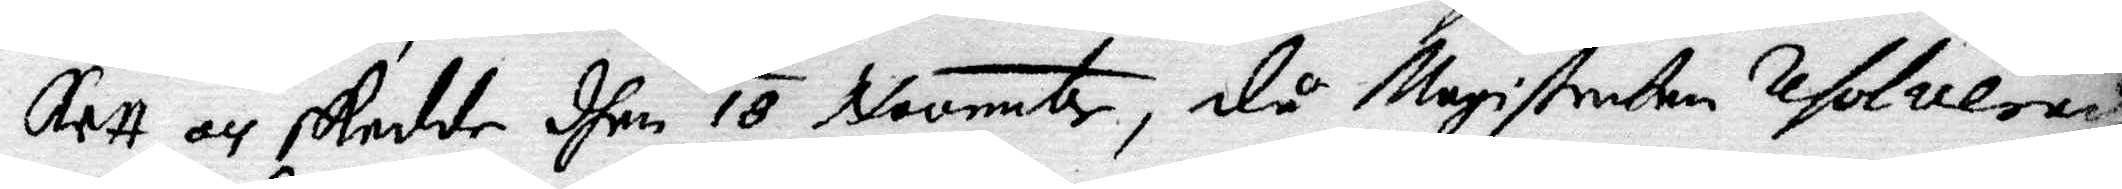Rett och skedde dhen 18 Novembr, då Magistraten Resolverade
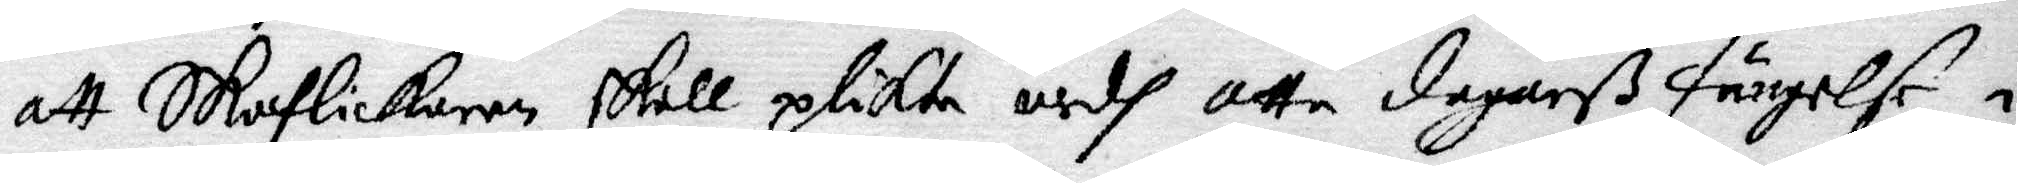att Skoflickaren skall plikta medh otta dagarß fängelse i 
